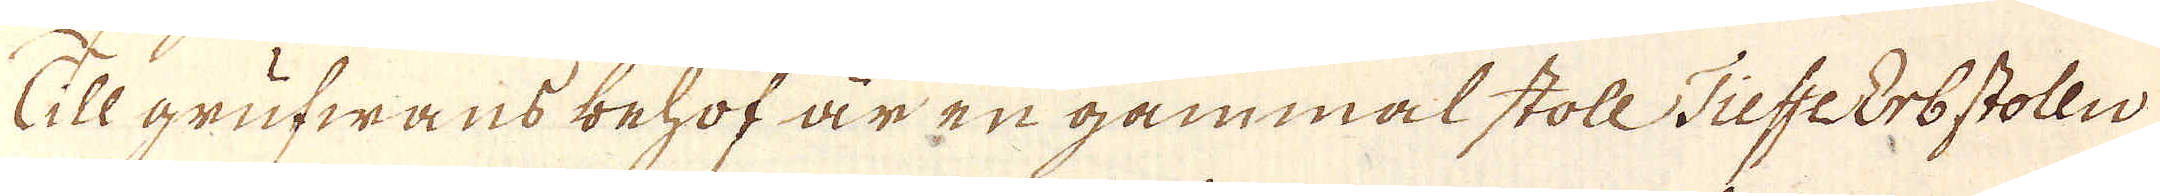Till grufwans behof är en gammal stoll TieffeErbstolln
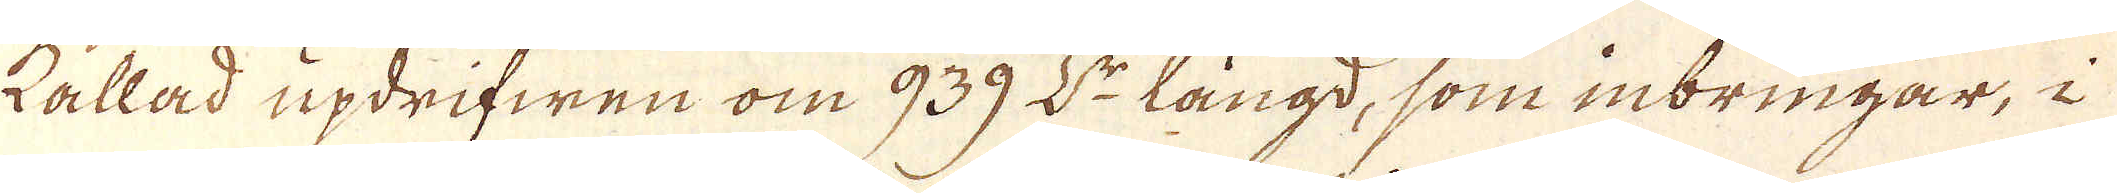kallad updrifwen om 939 L:r längd, som inbringar, i
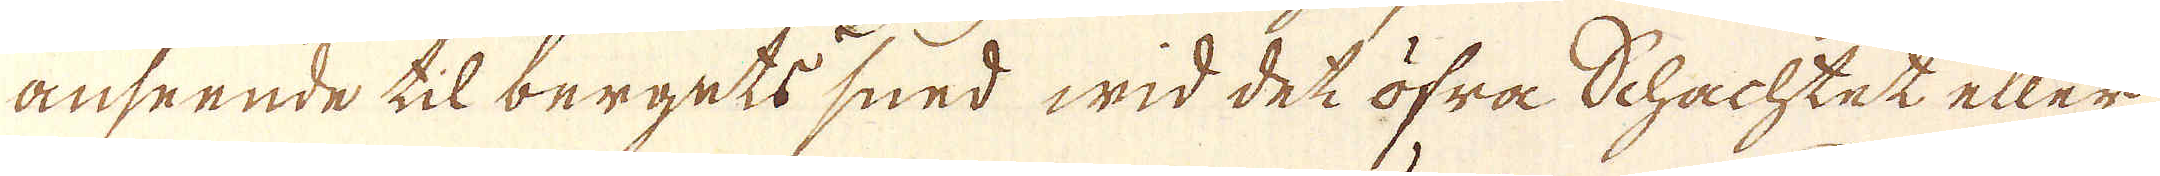anseende til bergets sned wid det öfra Schachtet eller
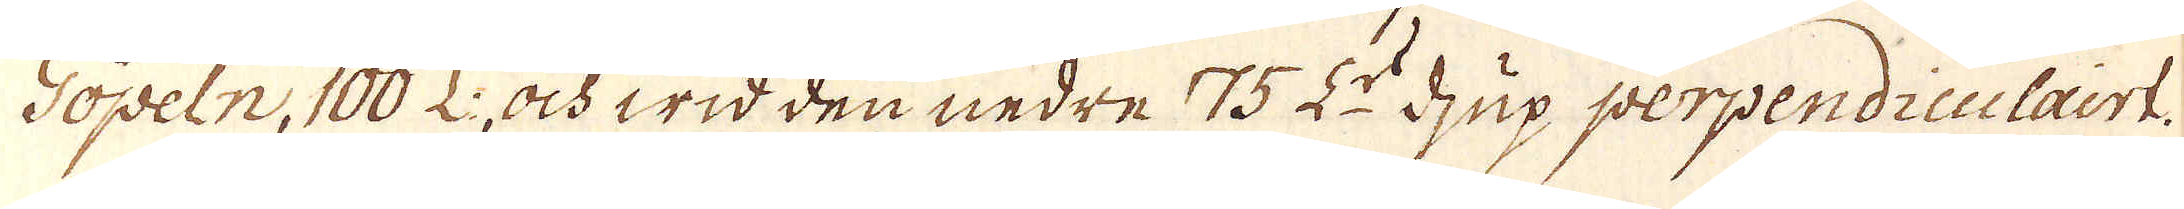Göpeln, 100 L:, och wid den nedre 75 L:r djup perpendiculairt.
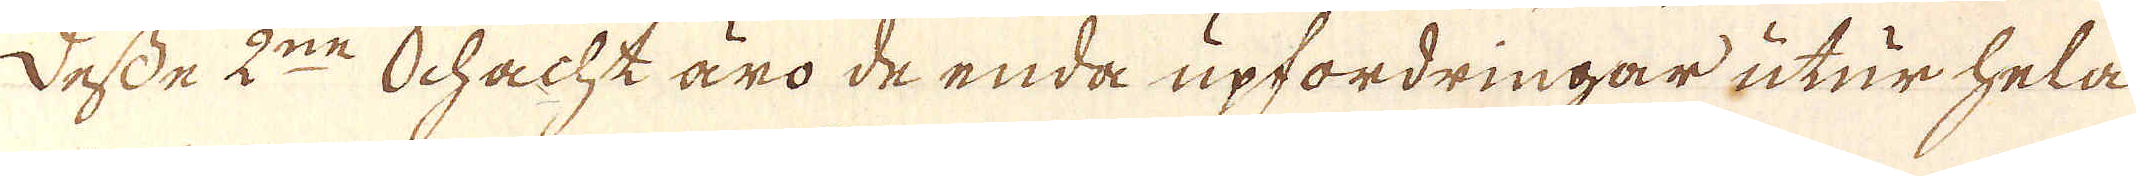Desse 2:ne Schacht äro de enda upfordringar utur hela
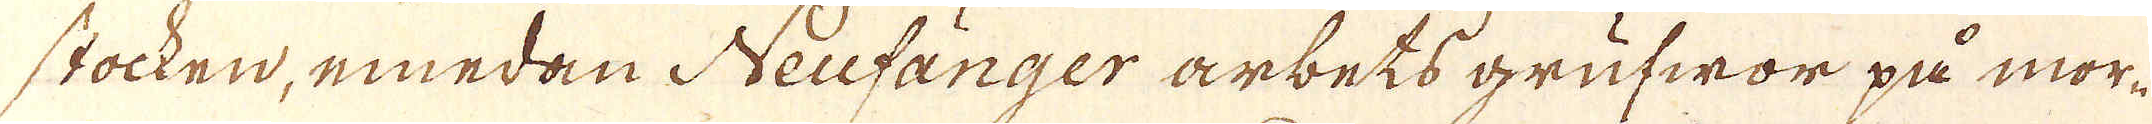stocken, emedan Neufänger arbets grufwor på mor-
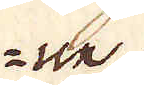le
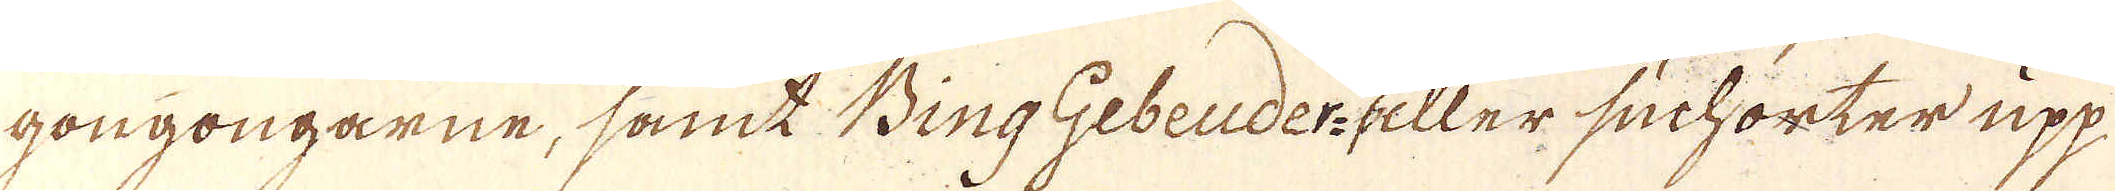gongongarne, samt Bing Gebeuder- eller suchorter upp
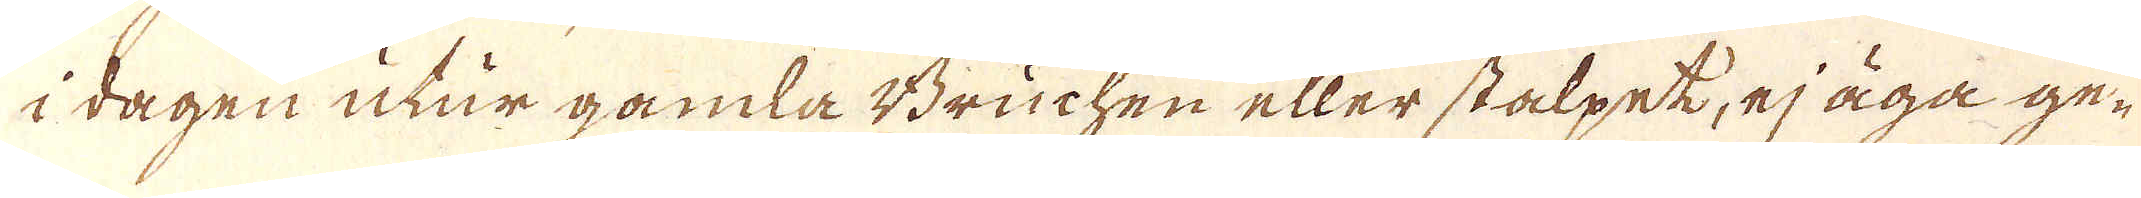i dagen utur gamla Bruchen eller stalpet, ej äga ge-
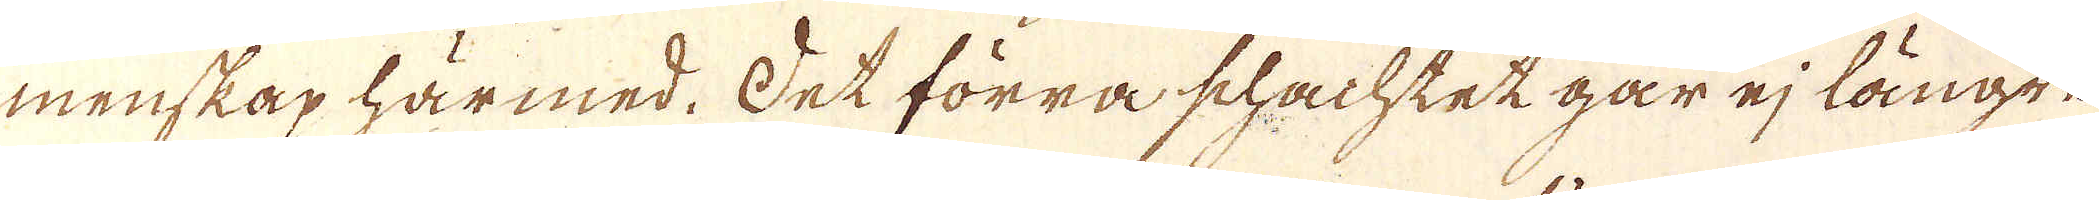menskap härmed. Det förra schachtet går ej längre
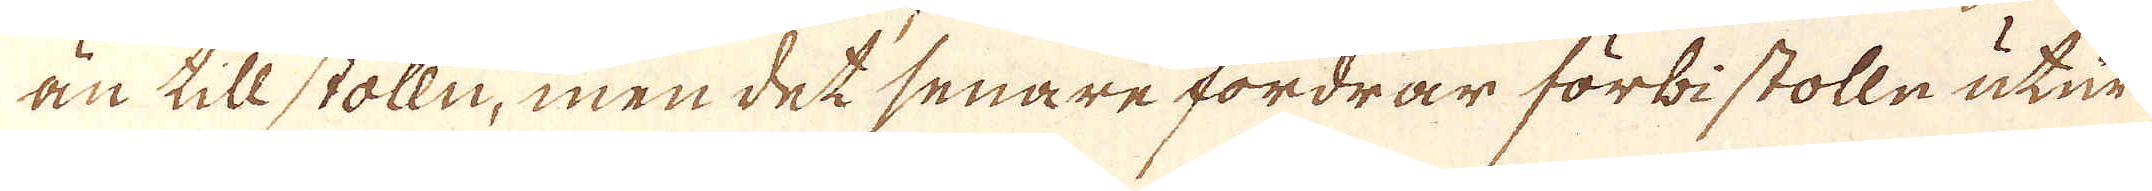än till stolln, men det senare fordrar förbi stolle utur
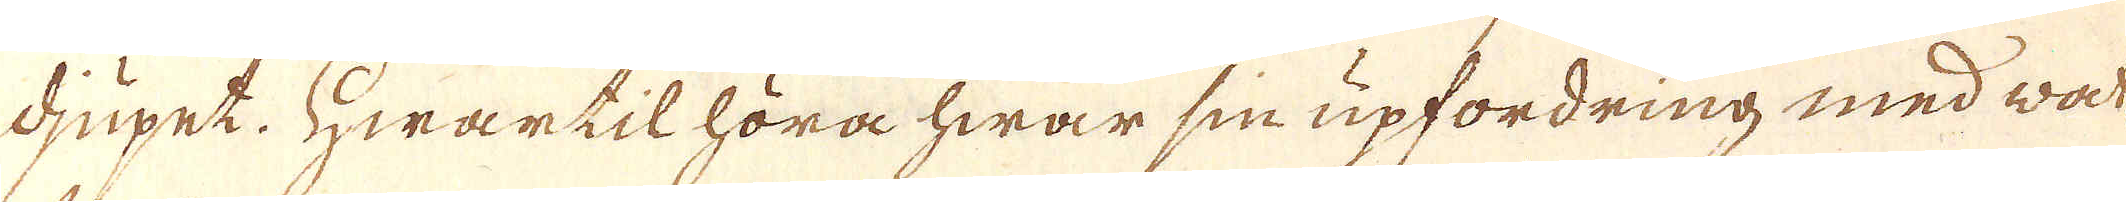djupet. Hwartil höra hwar sin upfordring med wat-
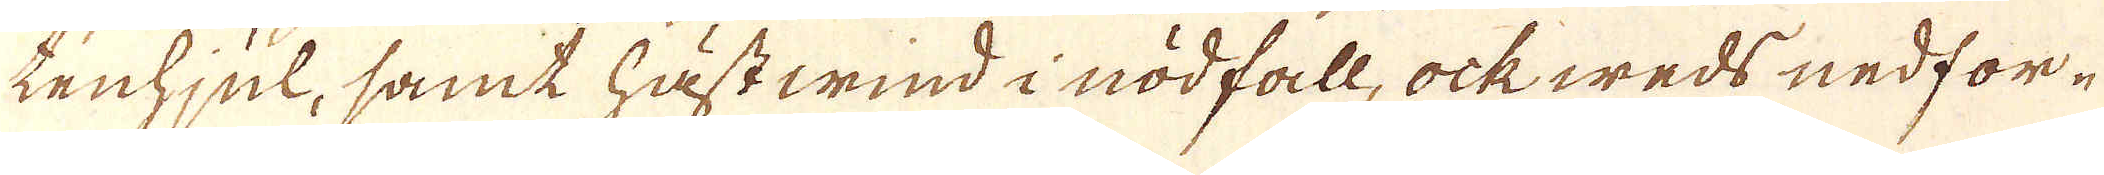tenhjul, samt hästwind i nödfall, ock weds nedfor-
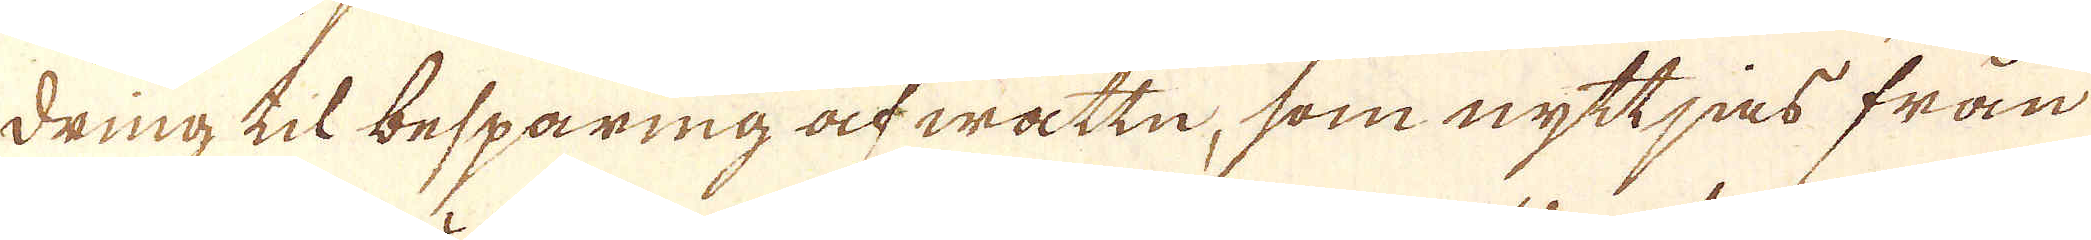dring til besparing ock wattn, som nyttjas från
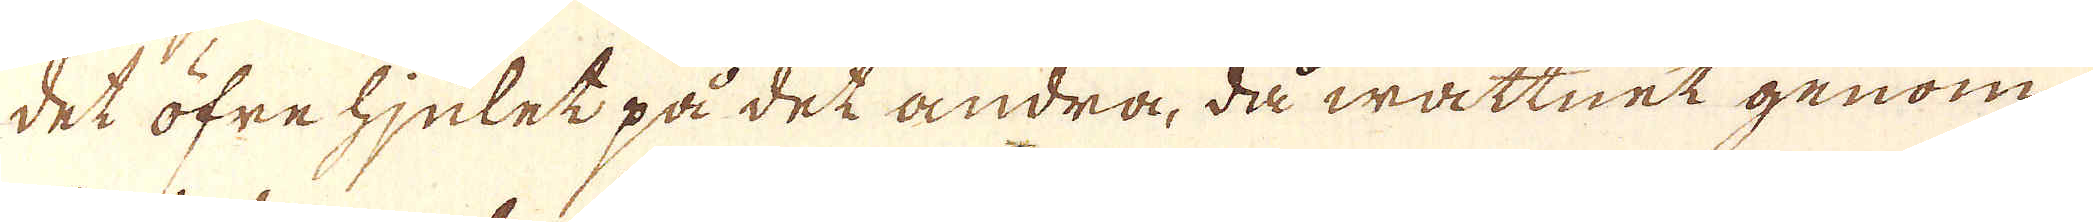det öfre hjulet på det andra, då wattnet genom
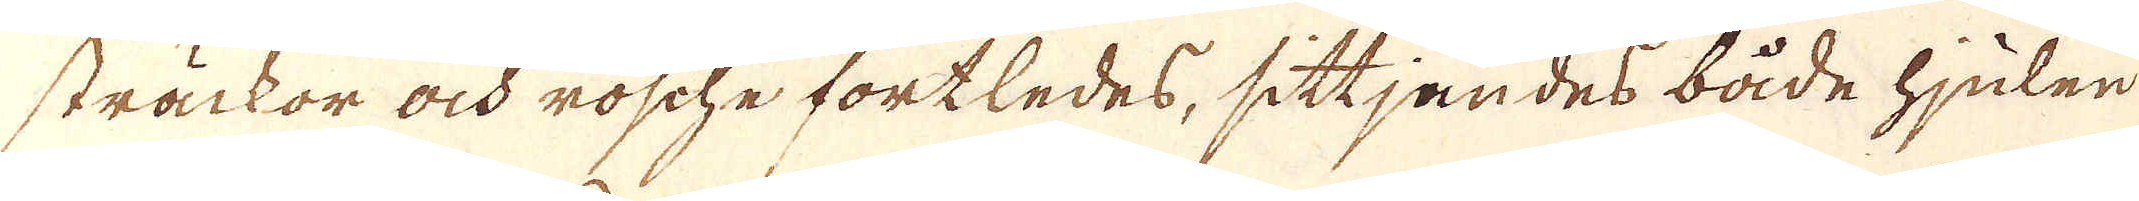sträckor och rösche fortledes, sittjandes både hjulen
